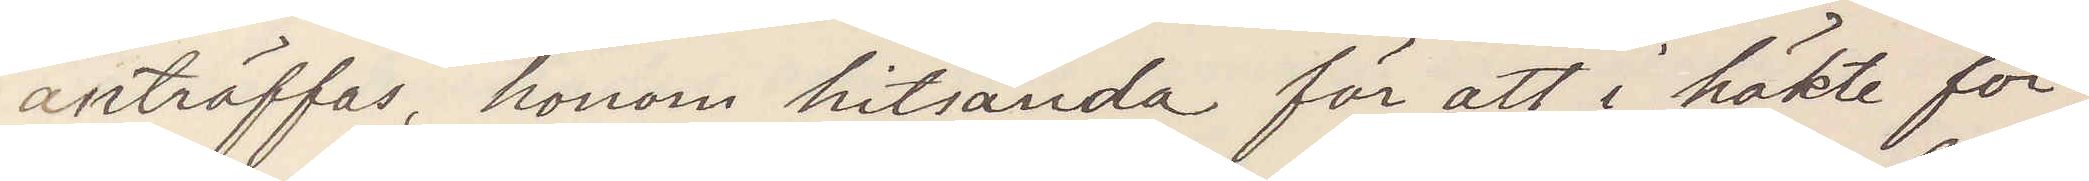anträffas honom hitsända för att i häkte för¬
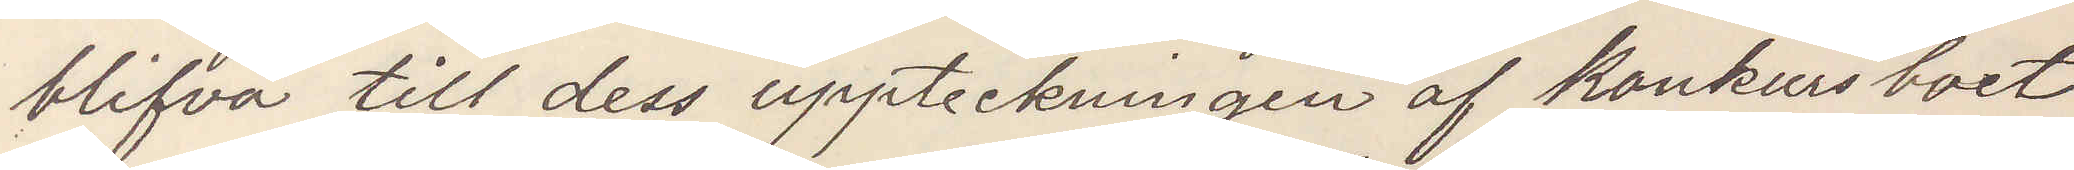blifva till dess uppteckningen af Konkurs boet
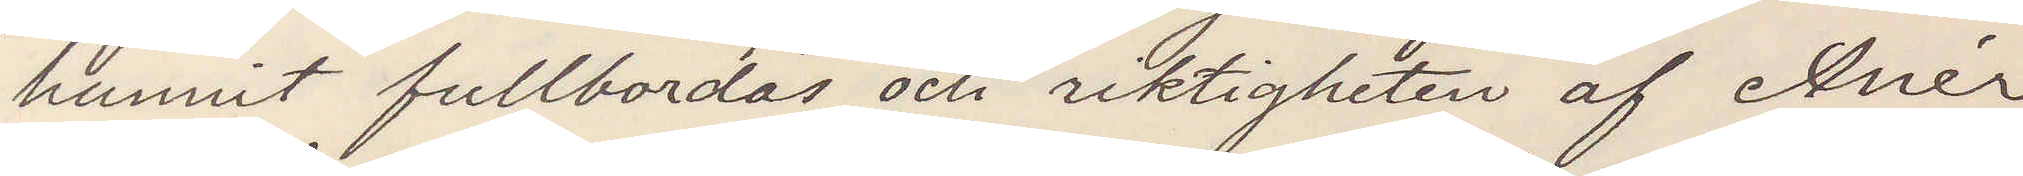hunnit fullbordas och riktigheten af Anér
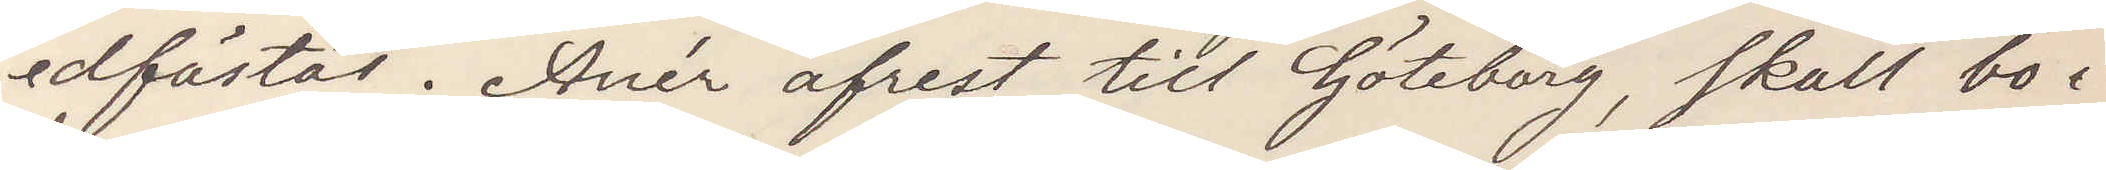edfästes. Anér afrest till Göteborg, skall bo i
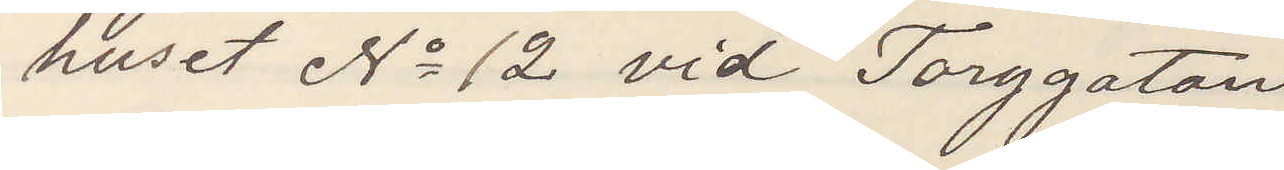huset No 12 vid Torggatan
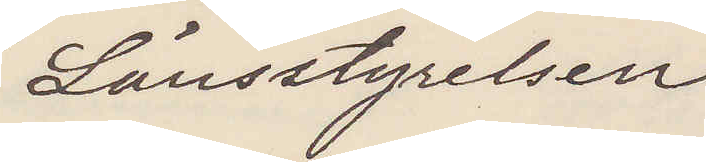Länsstyrelsen
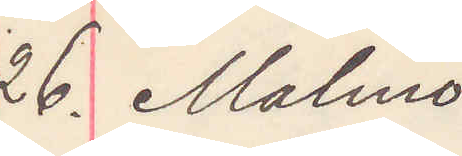26. Malmö
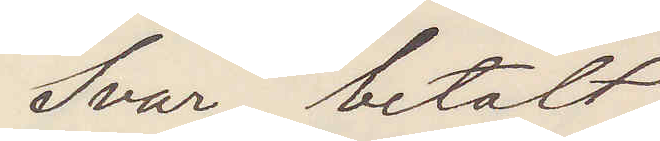Svar betalt
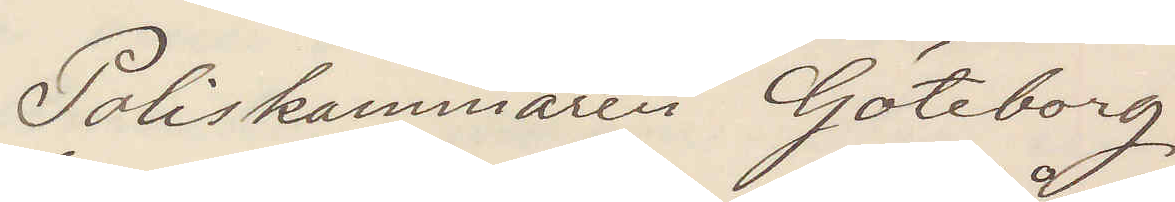Poliskammaren Göteborg
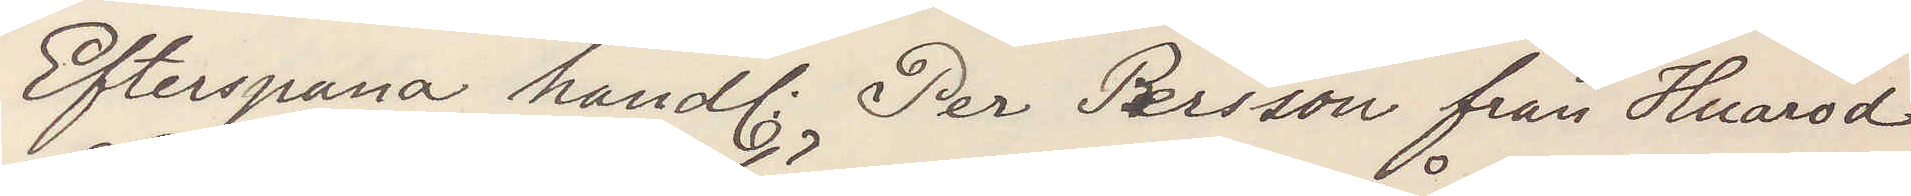Efterspana handl. Per Persson från Huaröd
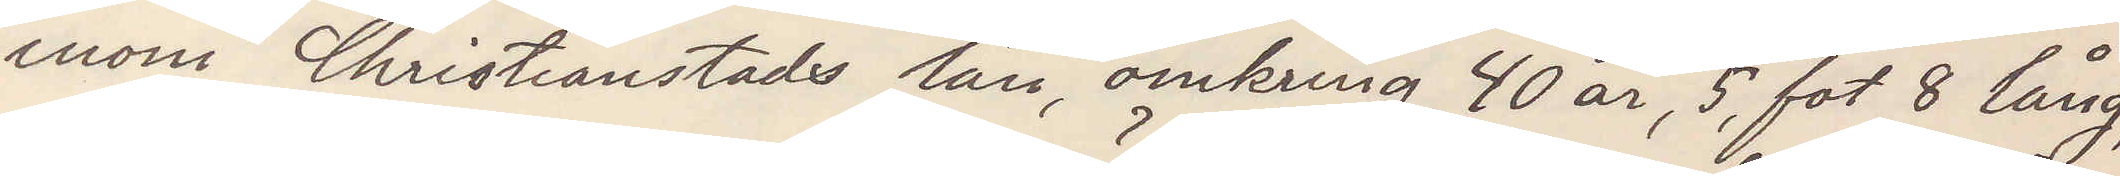inom Christianstads län, omkring 40 år, 5 fot 8 lång,
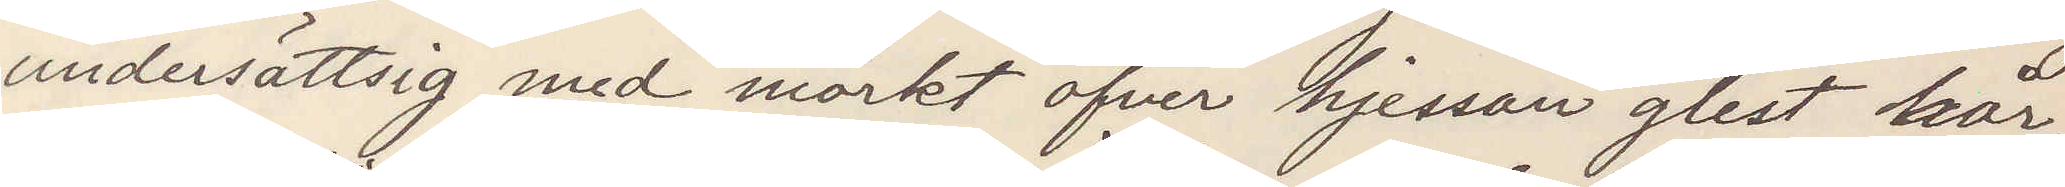undersättsig med mörkt öfver hjässan glest hår,
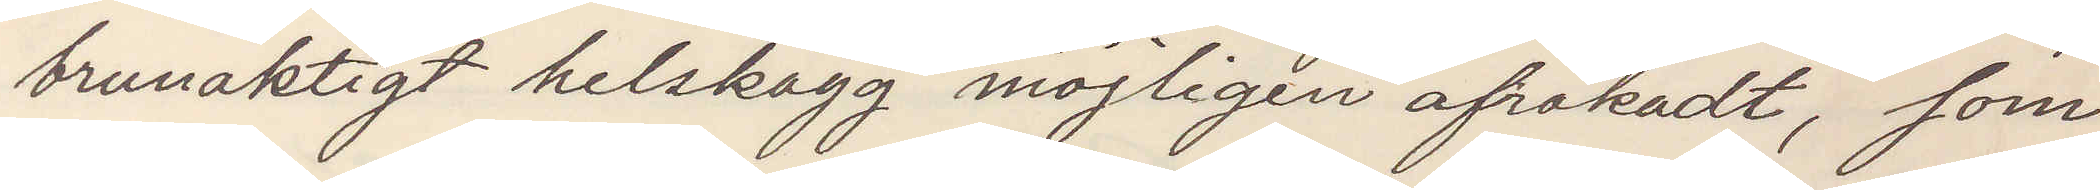brunaktigt helskägg möjligen afrakadt, som
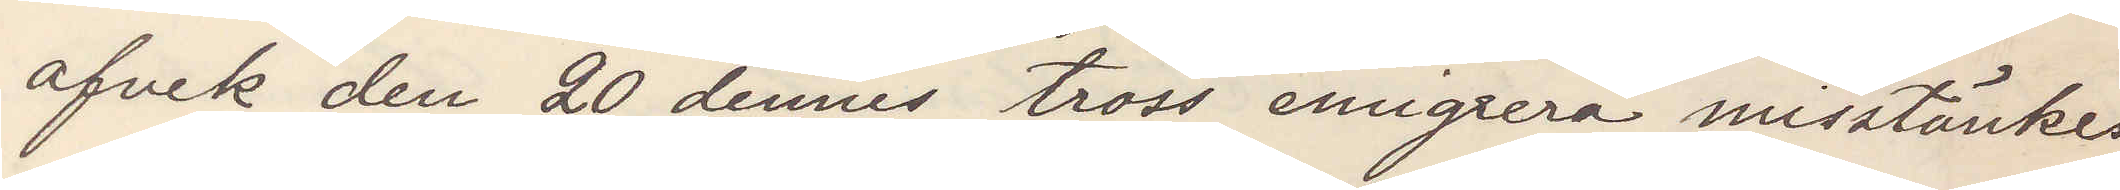afvek den 20 dennes tross emigrera misstänkes
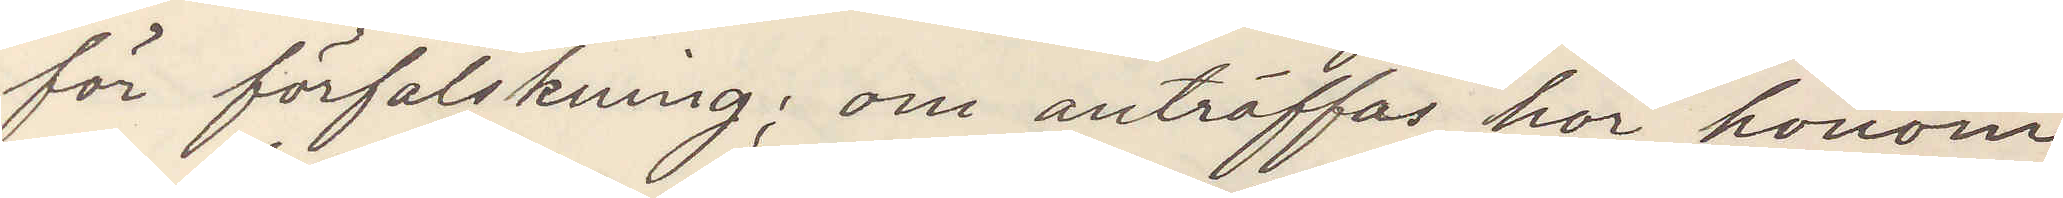för förfalskning; om anträffas hör honom
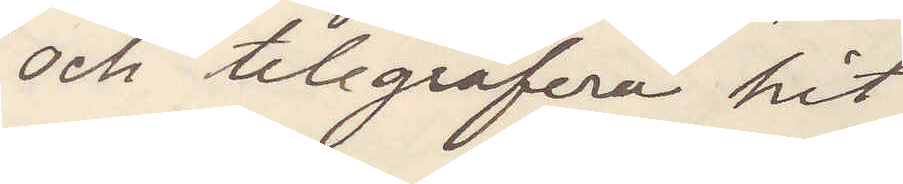och telgrafera hit
